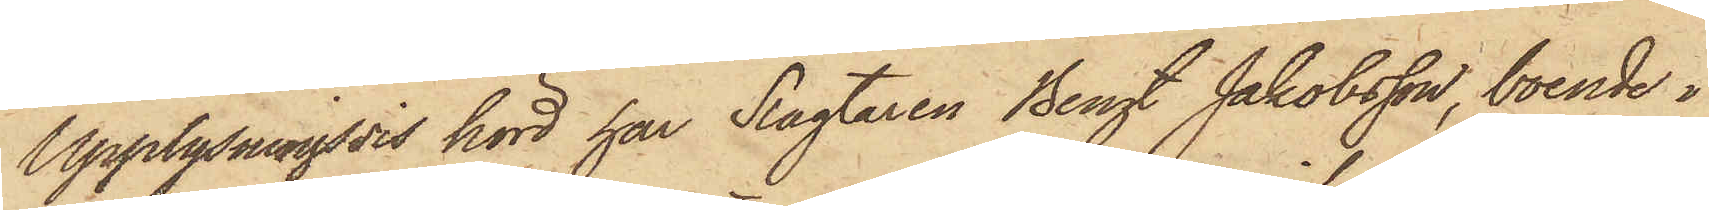Upplysningsvis hörd har Slagtaren Bengt Jakobsson, boende i
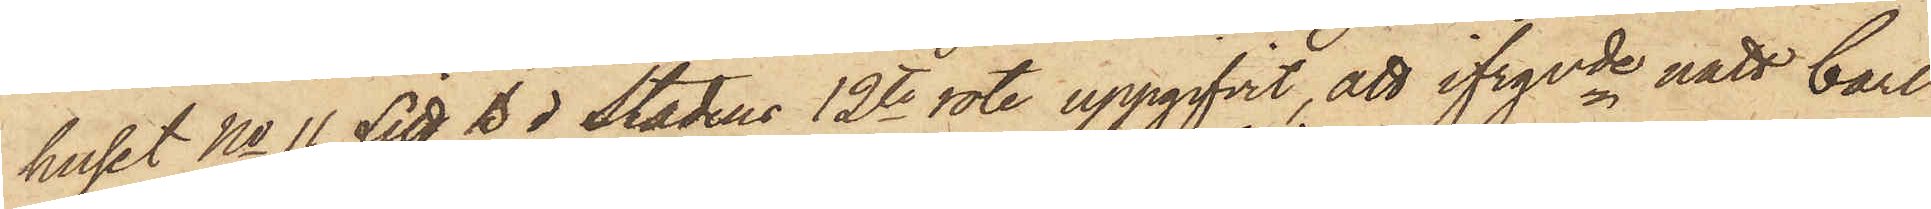huset No 11 Litt B i Stadens 12te rote uppgifvit, att ifrgvde natt Carl
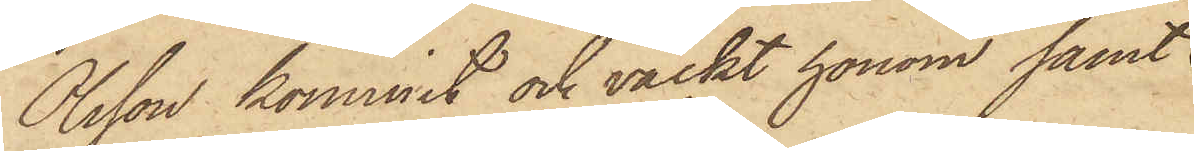Olsson kommit och väckt honom samt
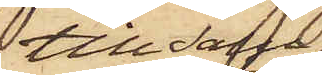till salu
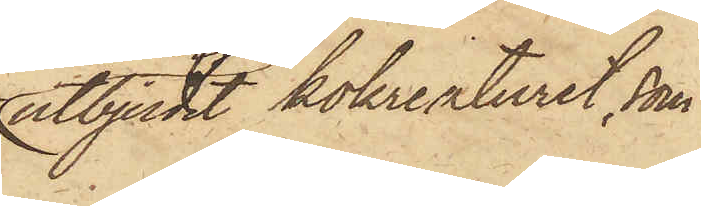utbjudit kokreaturet, som
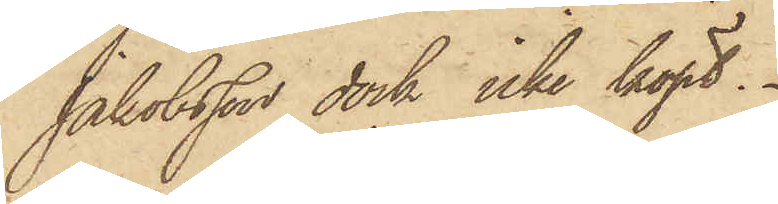Jakobsson dock icke köpt.
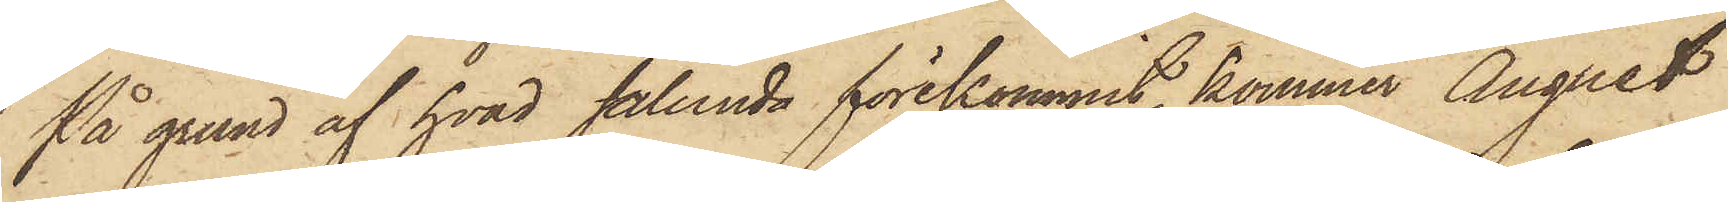På grund af hvad sålunda förekommit, kommer August
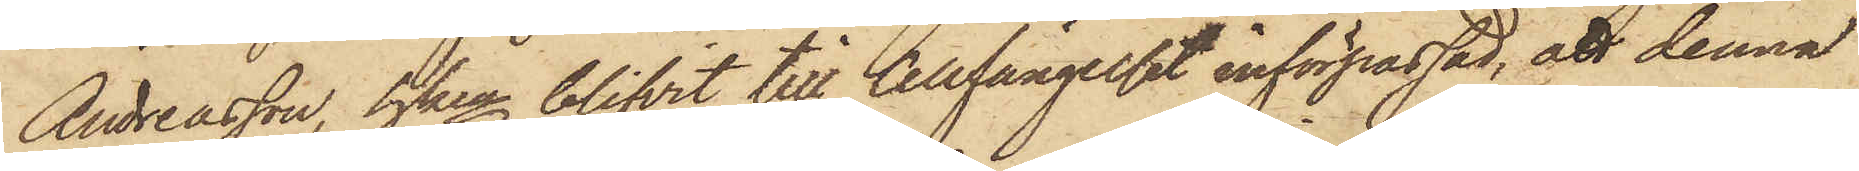Andreasson, hken blifvit till Cellfängelset införpassad, att denna
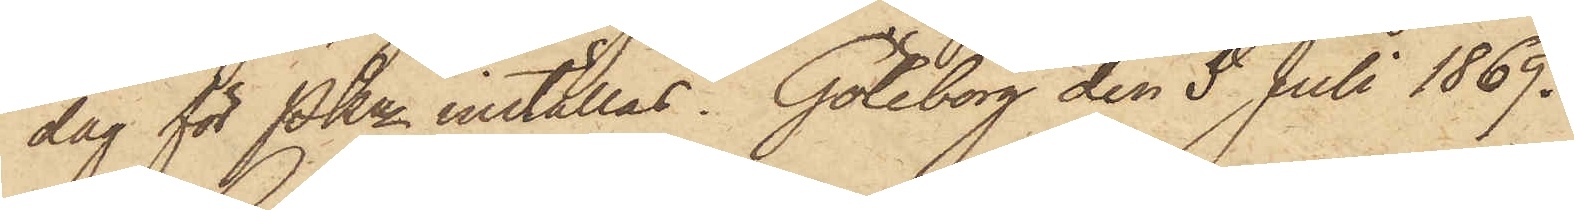dag för PKn inställas. Göteborg den 5 Juli 1869.
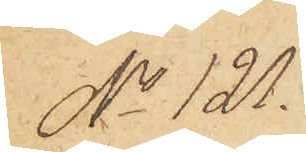No 121.
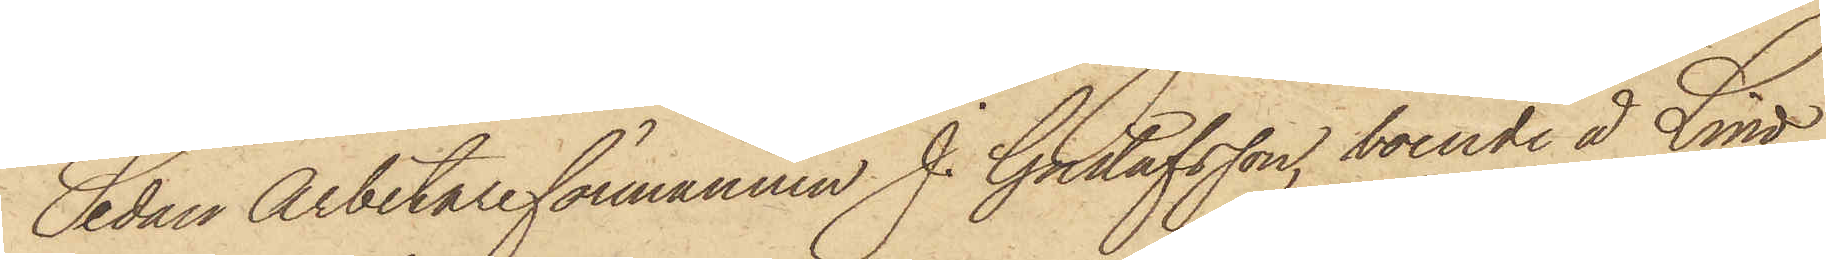Sedan Arbetareförmannen J. Gustafsson, boende å Lind¬
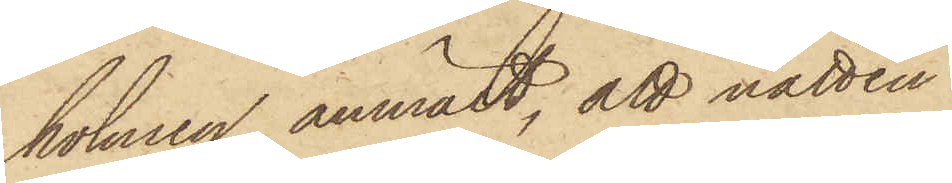holmen anmält, att natten
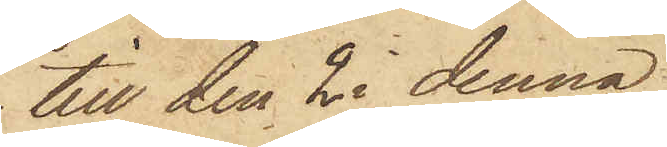till den 2 i denna
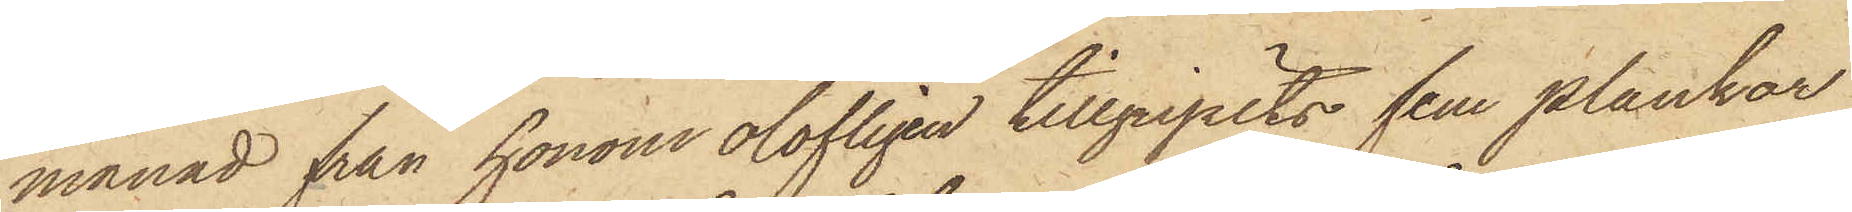månad från honom olofligen tillgripits fem plankor
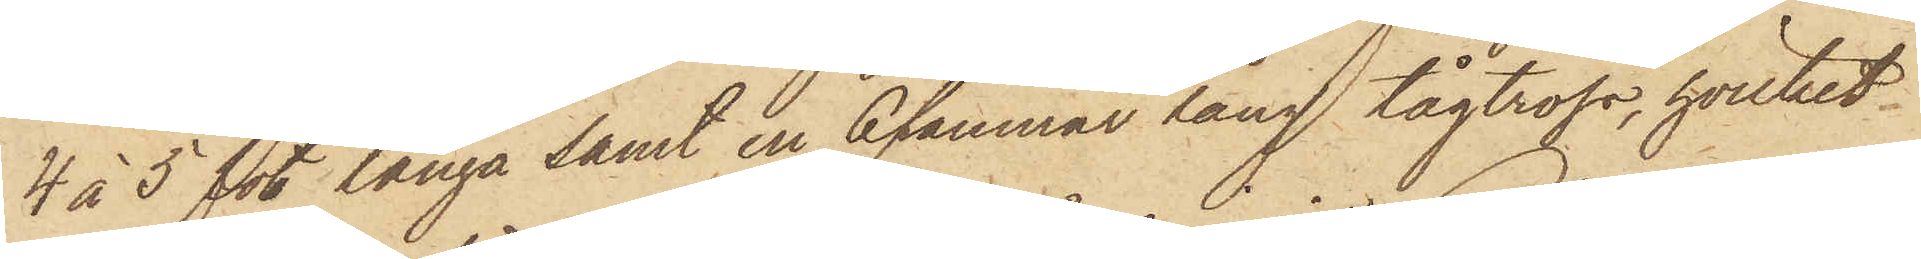4 à 5 fot långa samt en 6 famnar lång tågtross, hvilket
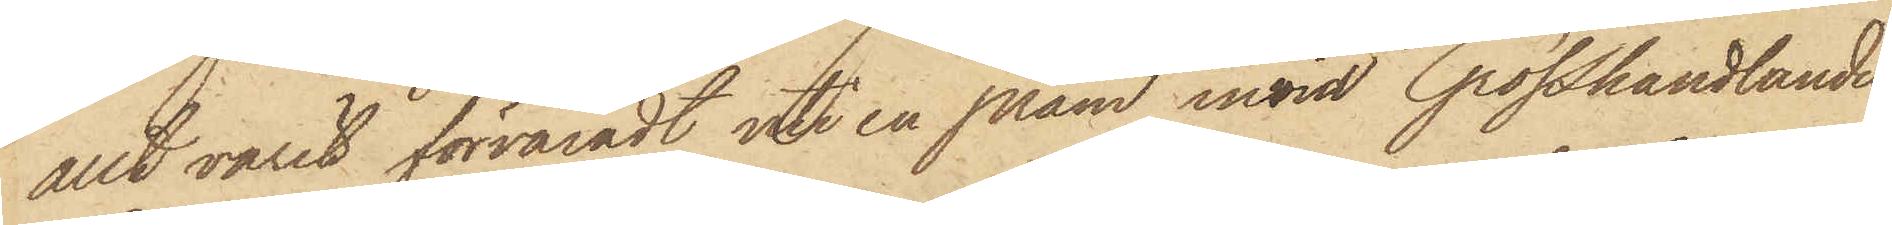allt varit förvaradt uti en pråm invid Grosshandlanden
